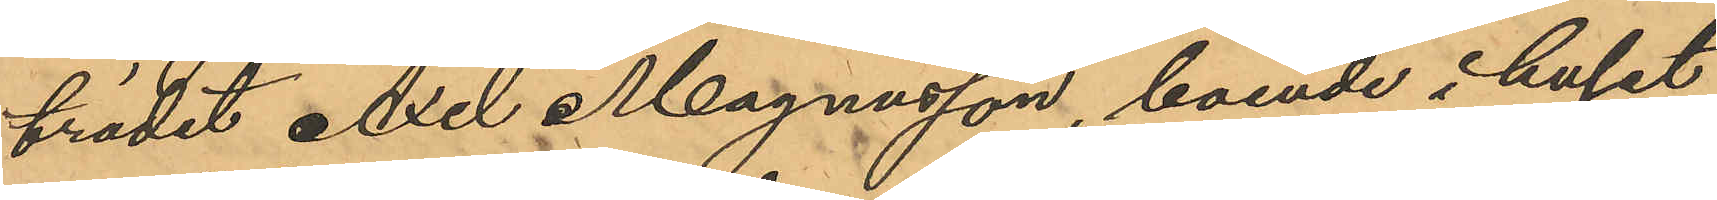trädet Axel Magnusson, boende i huset
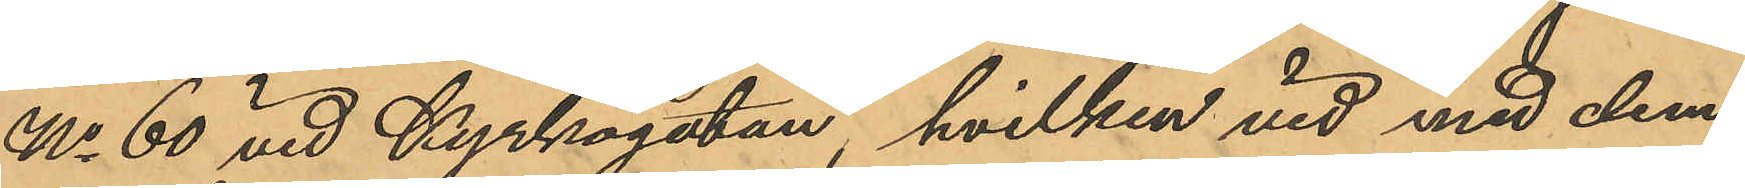No 60 vid Kyrkogatan, hvilken vid med dem
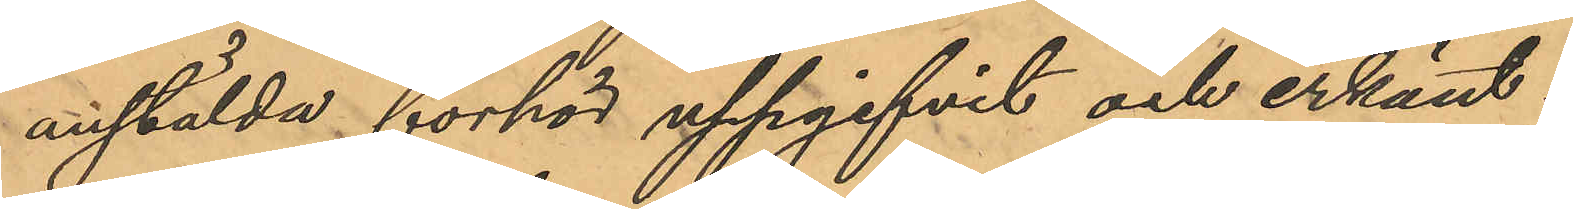anstälda förhör uppgifvit och erkänt:
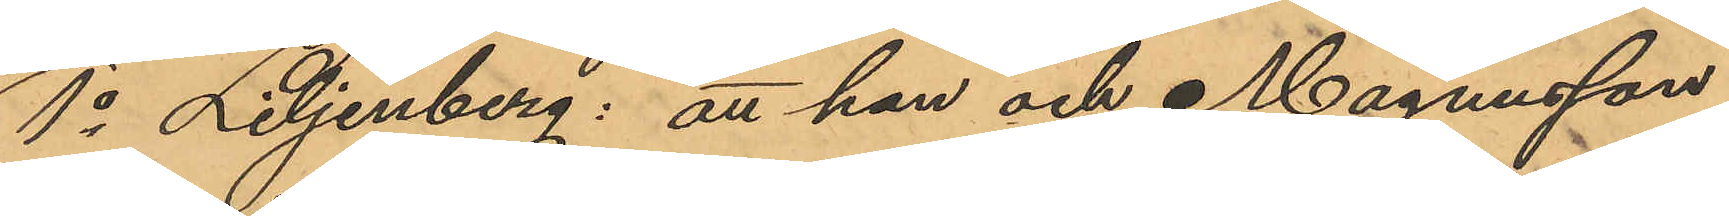1o Liljenberg: att han och Magnusson
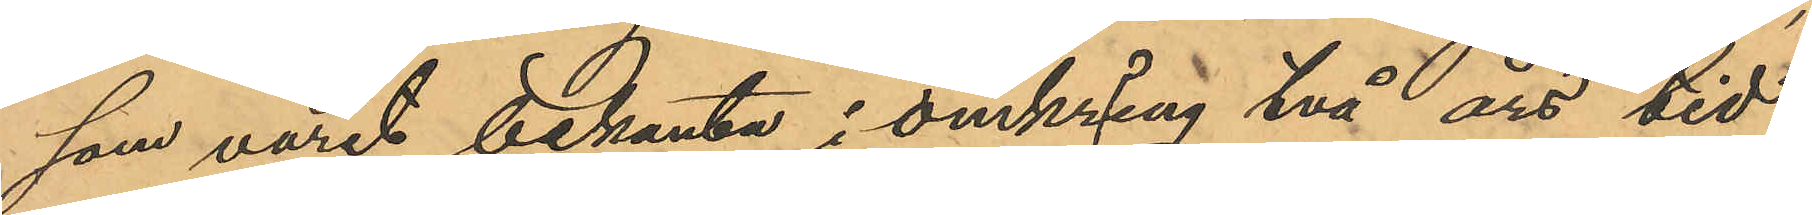som varit bekanta i omkring två års tid,
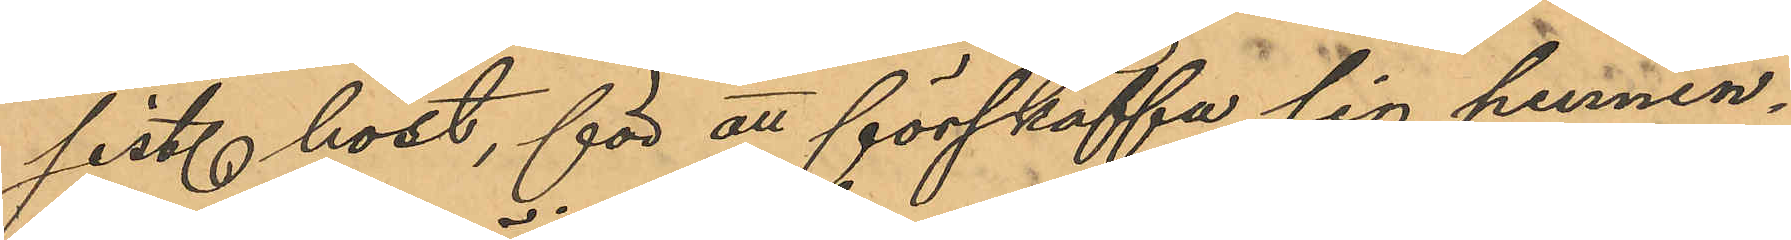sist. höst, för att förskaffa sig pennin¬
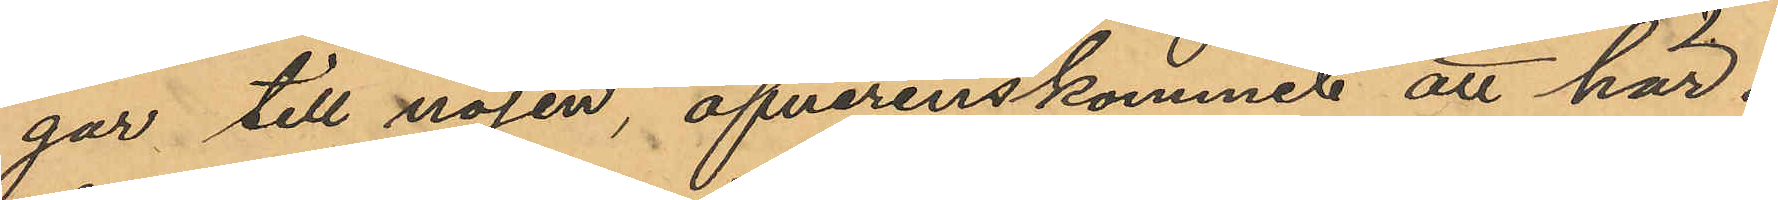gar till nöjen, öfverenskommit att här i
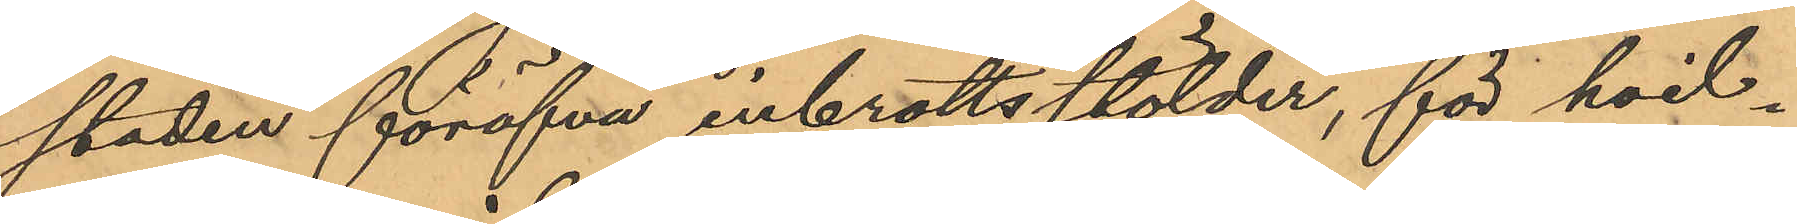staden föröfva inbrottsstölder, för hvil¬
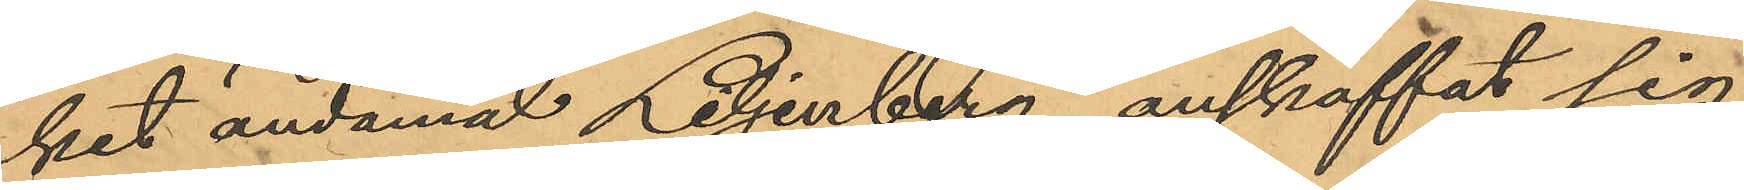ket ändamål Liljenberg anskaffat sig
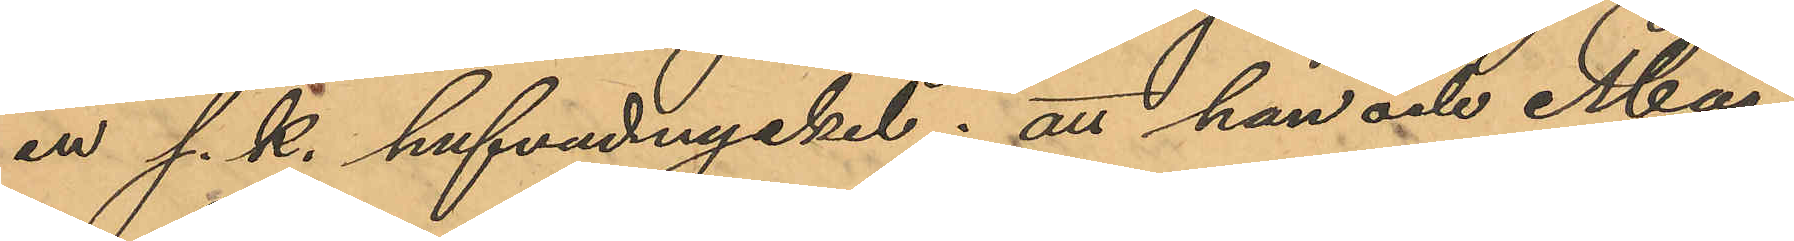en s. k. hufvudnyckel; att han och Mag¬
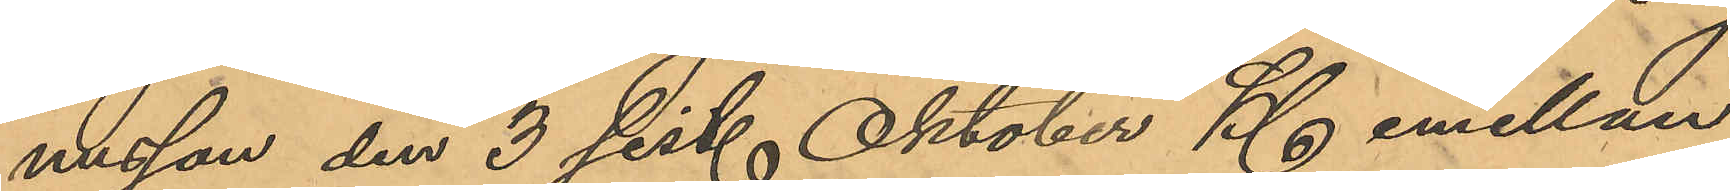nusson den 3 sist. Oktober Kl emellan
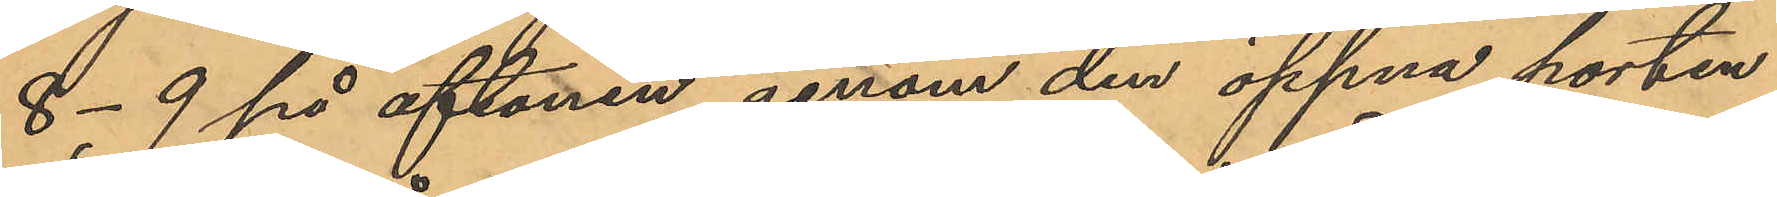8-9 på aftonen genom den öppna porten
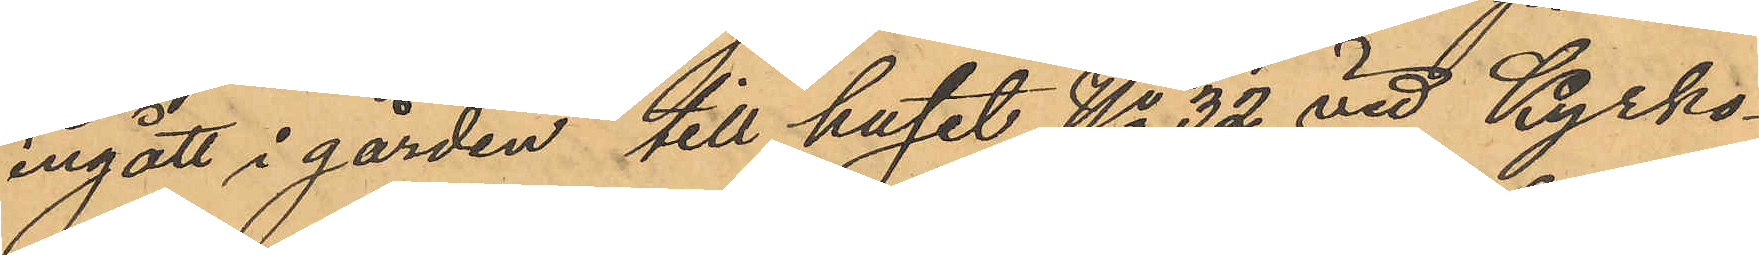ingått i gården till huset No 32 vid Kyrko¬
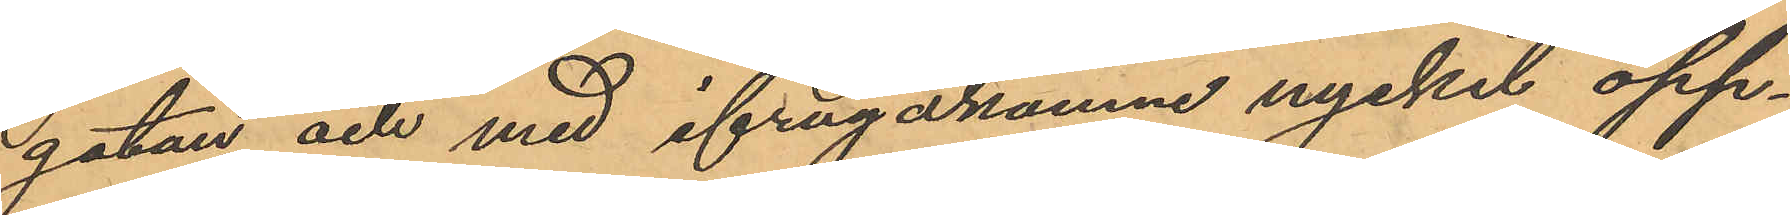gatan och med ifrågakomne nyckel öpp¬
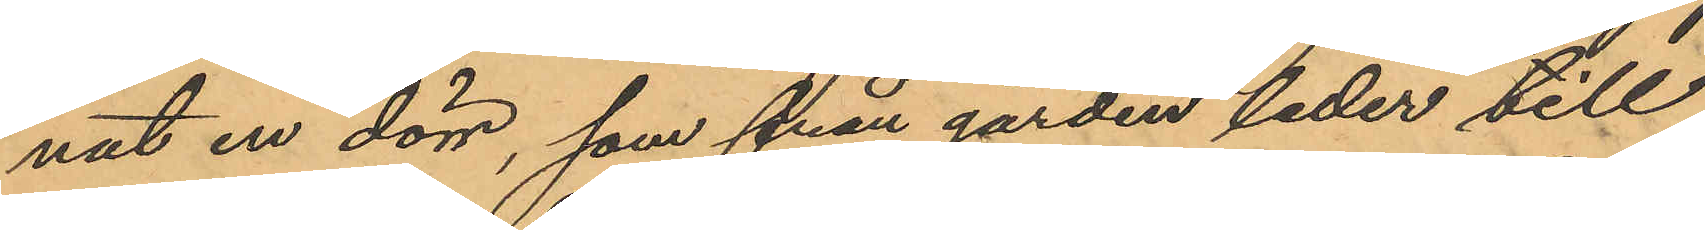nat en dörr, som från gården leder till
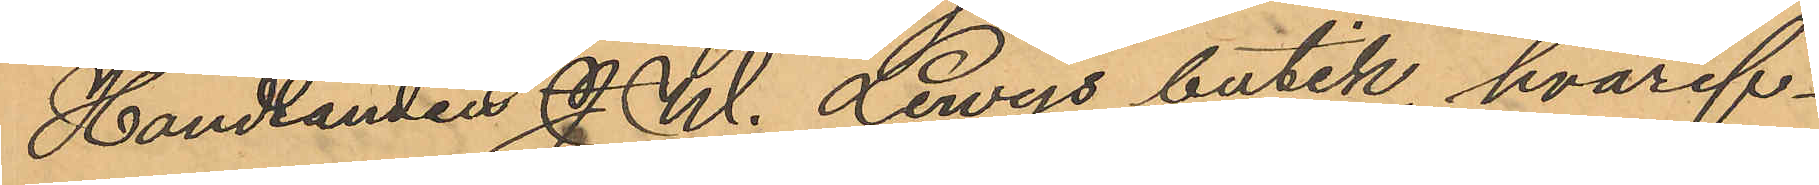Handlanden J. W. Lewys butik, hvaref¬
